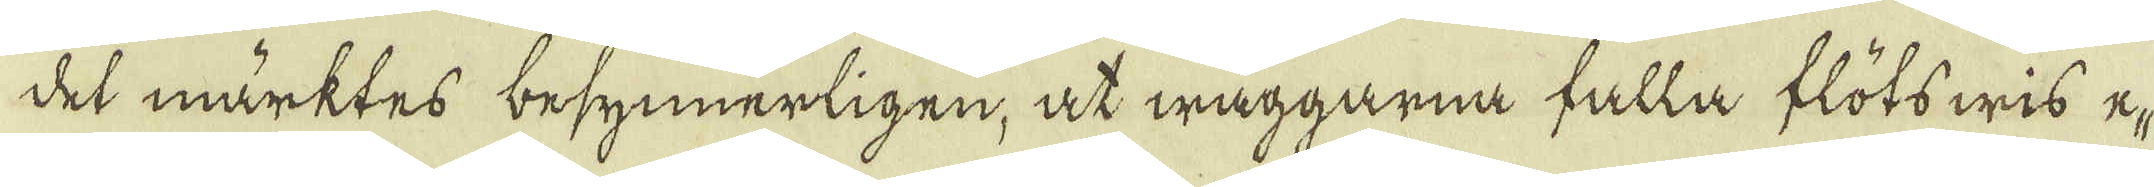det märktes besynnerligen, at wäggarna falla flötswis e-
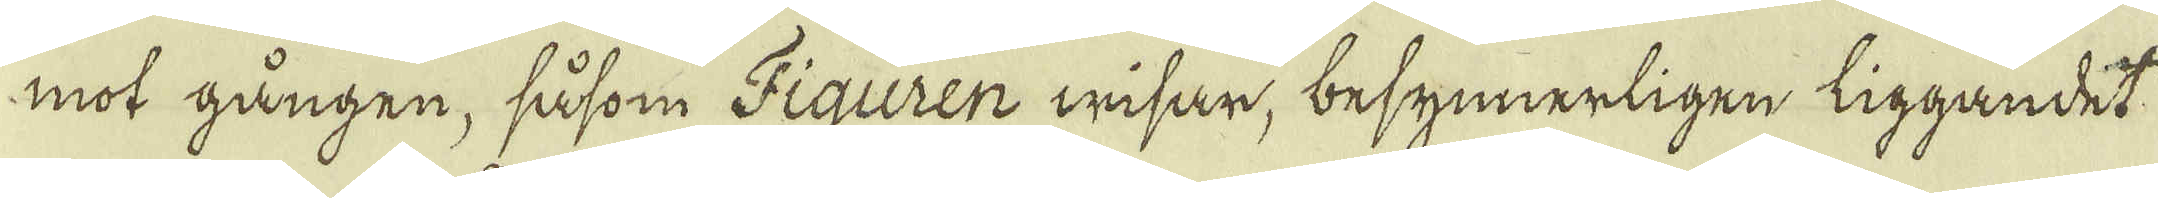mot gången, såsom Figuren wisar, besynnerligen liggandet
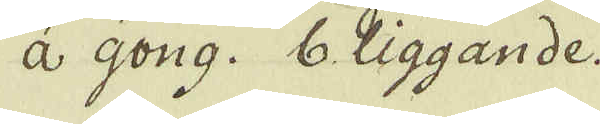a Gong. b liggande.
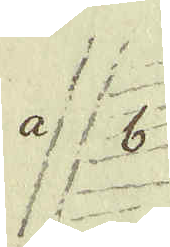a b
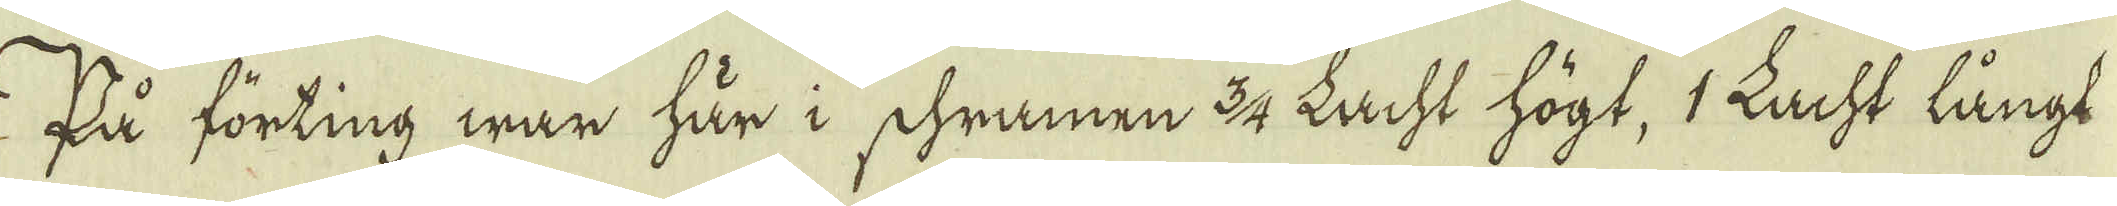På förting war här i schramen 3/4 Lacht högt, 1 Lacht långt
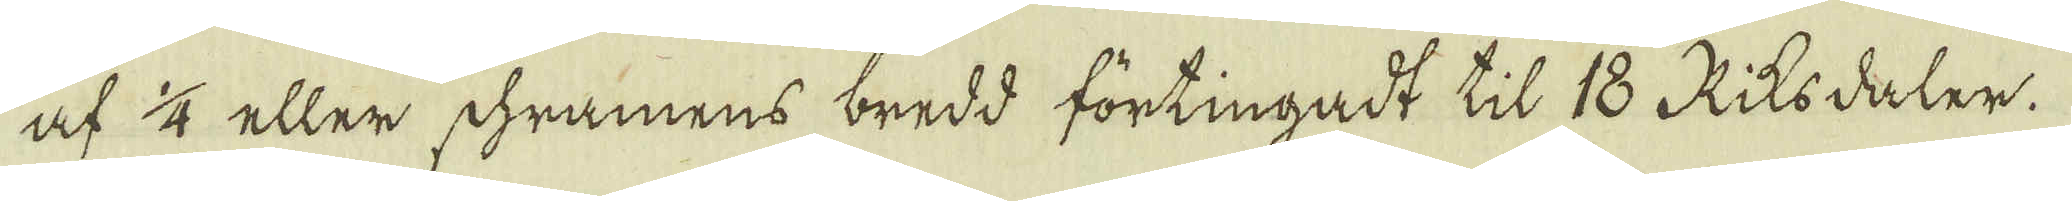af 1/4 eller schramens bredd förtingadt til 18 Riksdaler.
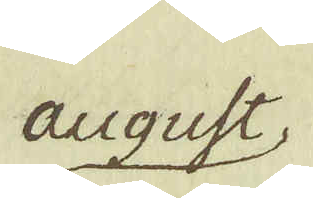august
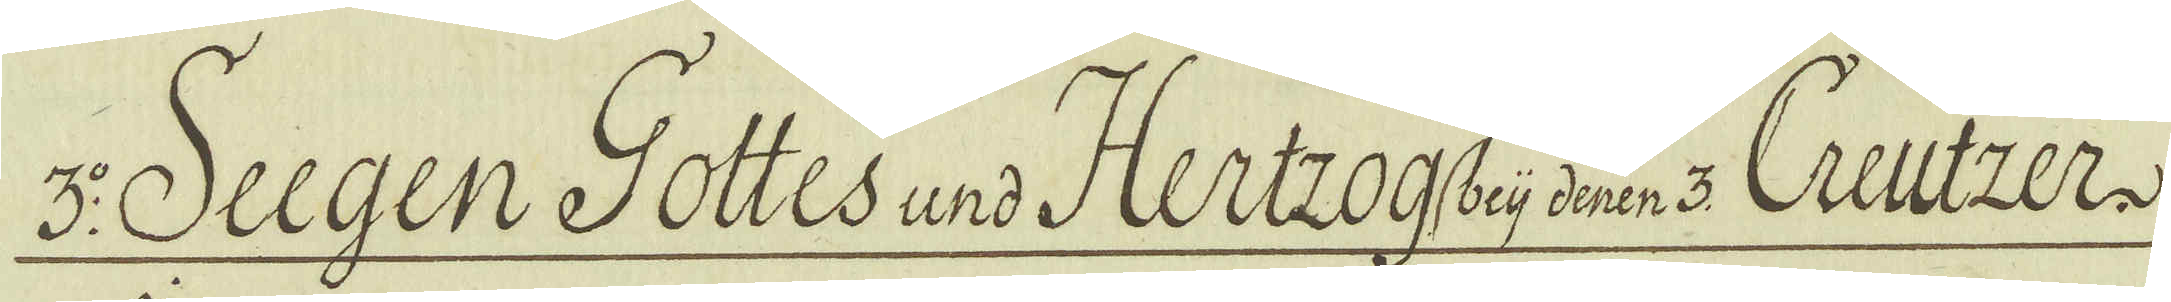3:o Seegen Gottes und Hertzog beij denen 3 Creutzer.
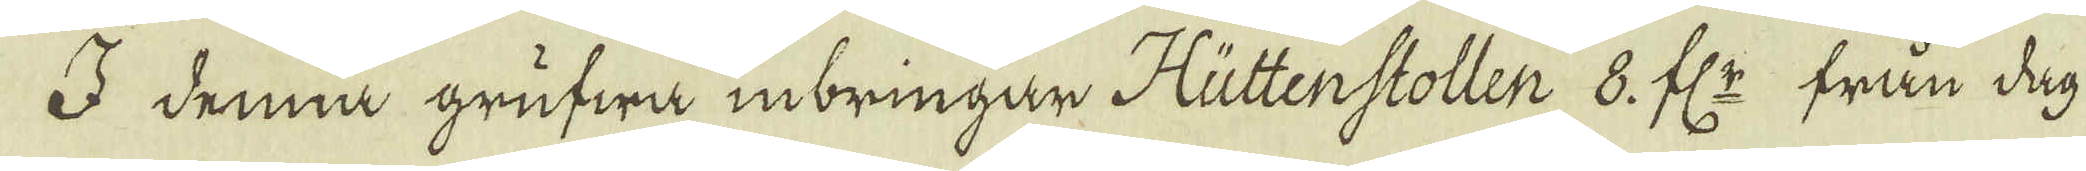I denna grufwa inbringar Hüttenstollen 8. fl:r från dag
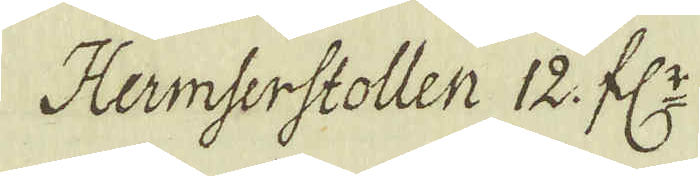Hermserstollen 12. fl:r
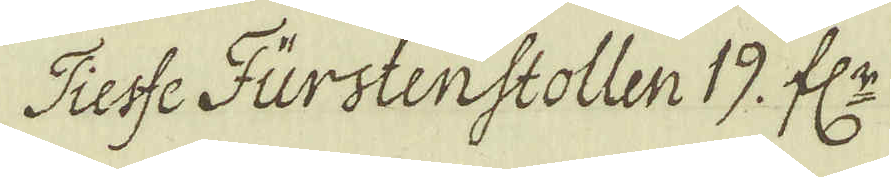Tiesse Furstenstollen 19. fl:r
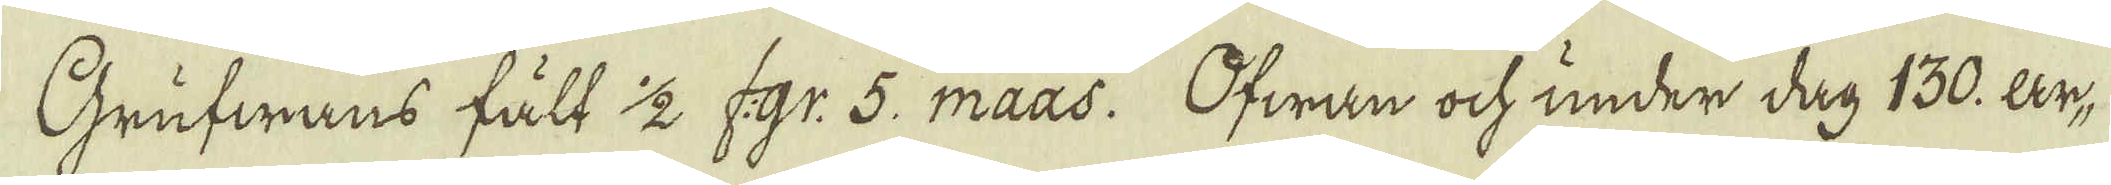Grufwans fäll 1/2 f:gr: 5. maas. Ofwan ock under dag 130. ar-
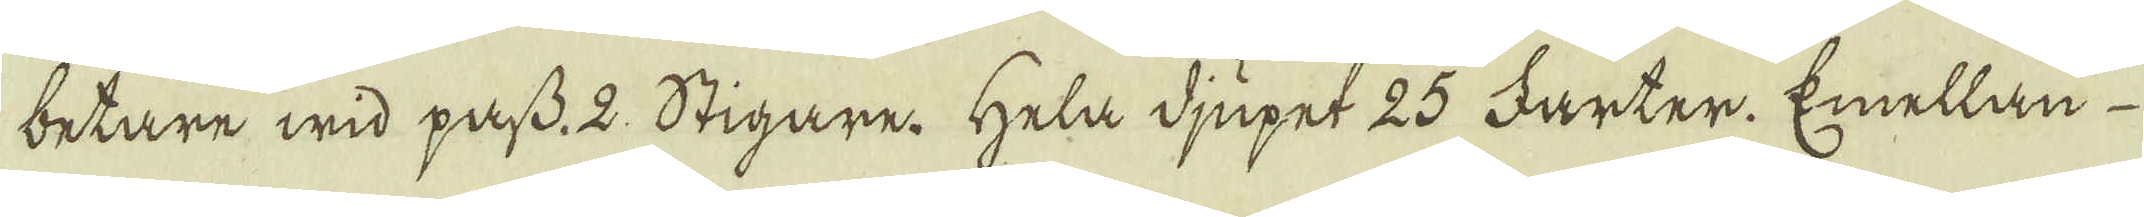betare wid pass. 2. Stigare. Hela djupet 25 Farter. Emellan
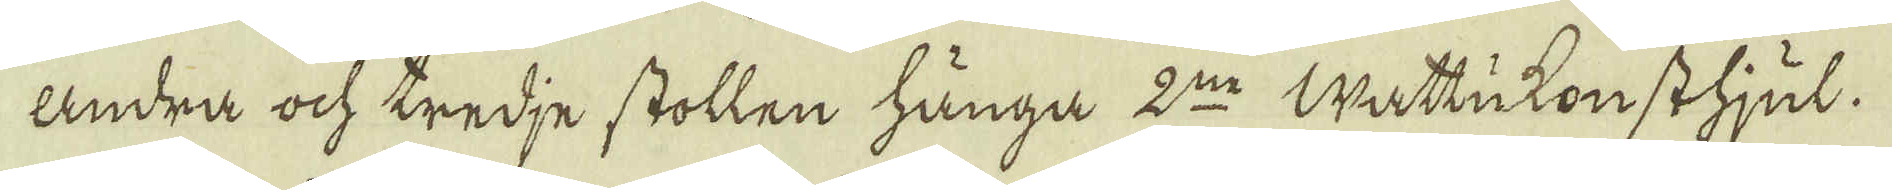andra ock tredje stollen hånga 2:ne Wattukonsthjul.
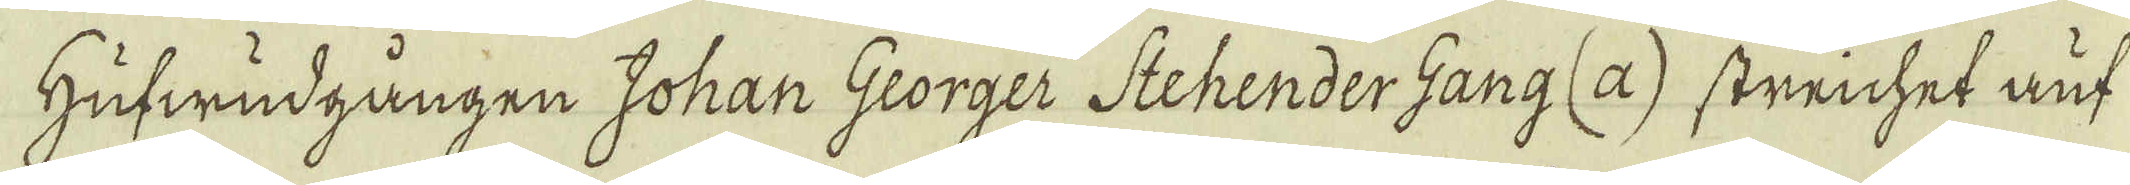Hufwudgången Johan Georger Stehender Gang (a) streichet auf
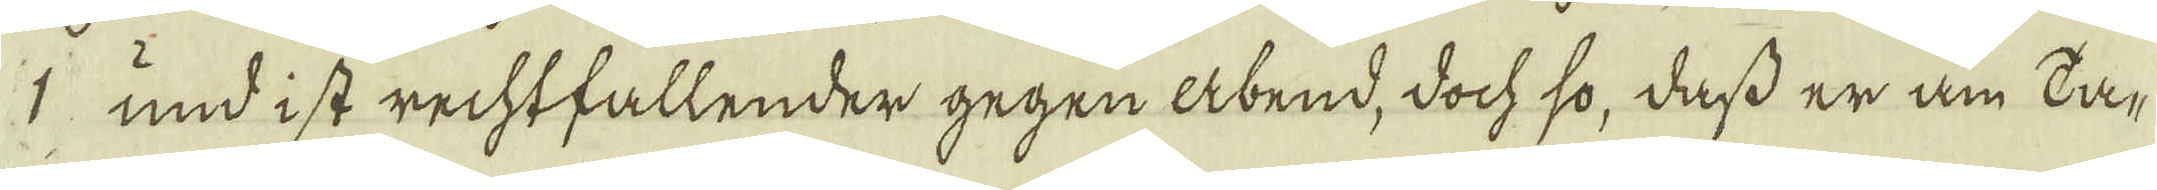1 und i st rechtfallender gegen abend, doch so, dass er am La-
